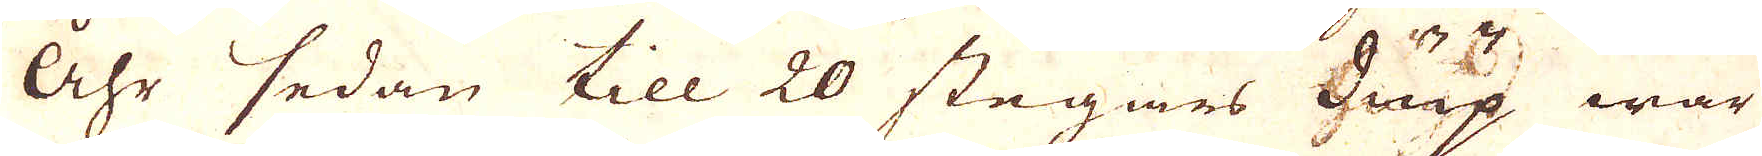åhr sedan till 20 stegars diup war
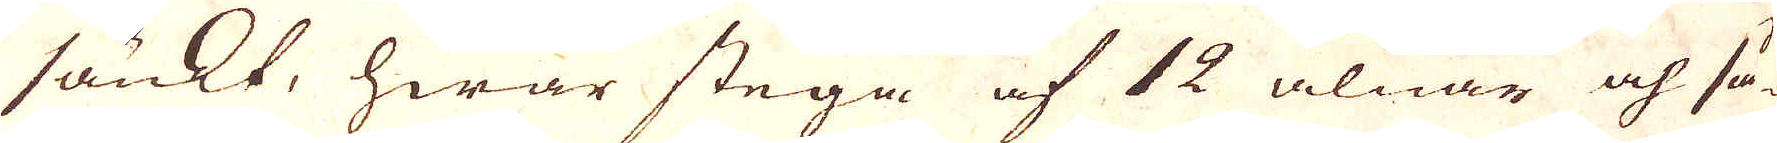sänkt, hwar stega af 12 alnar och så-
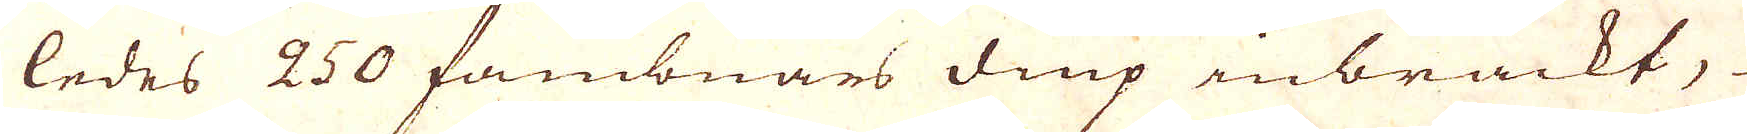ledes 250 fambnars diup inbrackt,
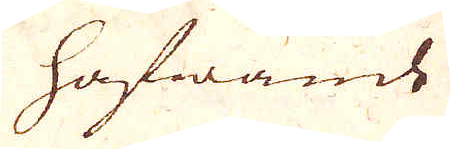hafwande
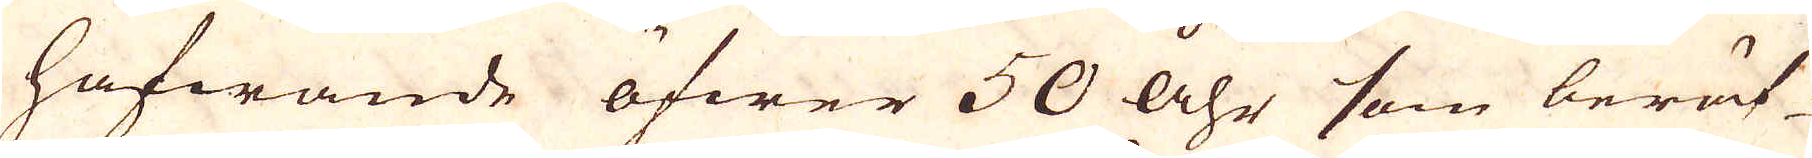hafwande öfwer 50 åhr som berät-
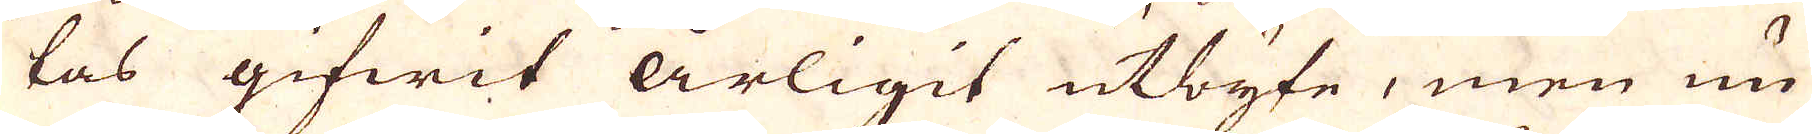tas gifwit årligit utbyte, men nu
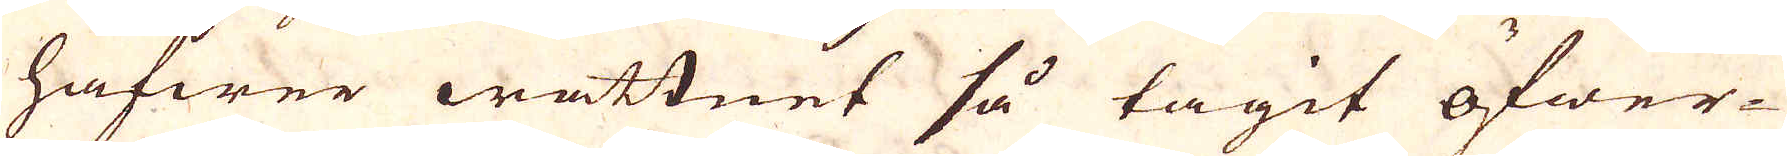hafwer wattnet så tagit öfwer-
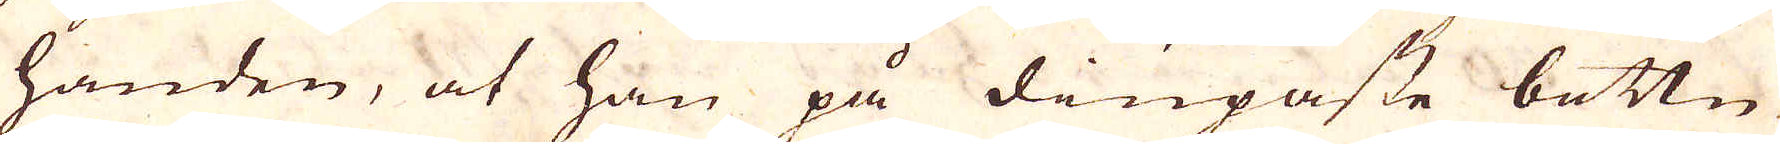handen, at han på diupaste bottn
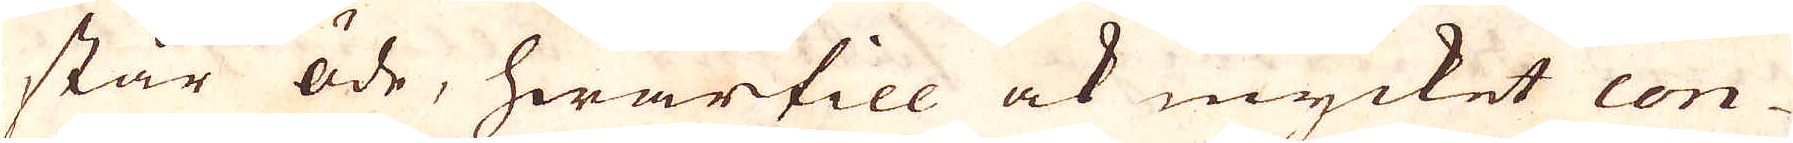står öde, hwartill ock mycket con-
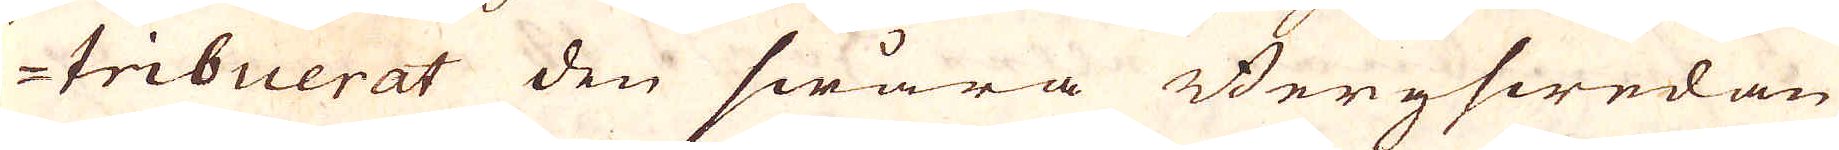tribuerat den swåra Bergswedan
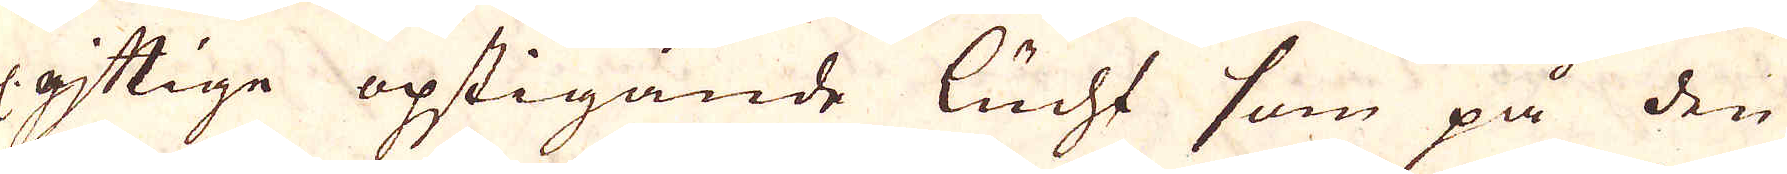el. gjttige opstigande lucht som på den
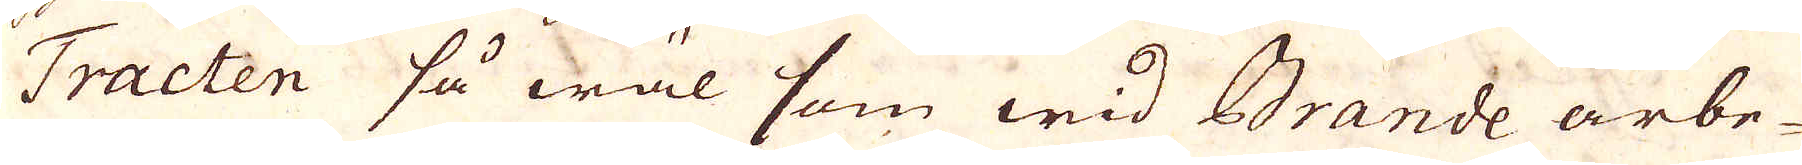Tracten så wäl som wid Brande arbe-
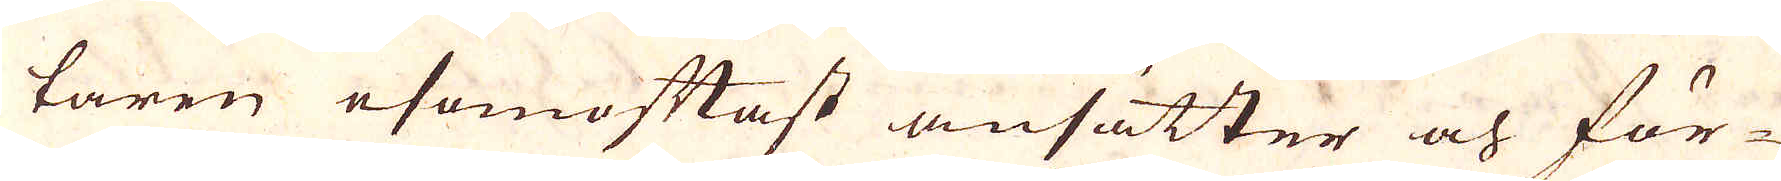taren esomoftast ansätter och för-
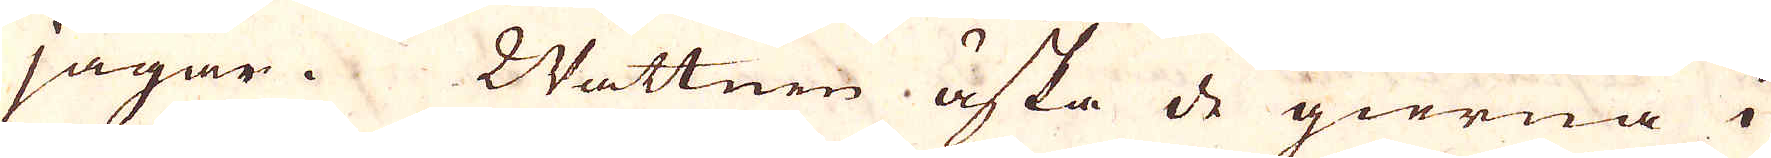jagar. Wattnen äska de gierna i
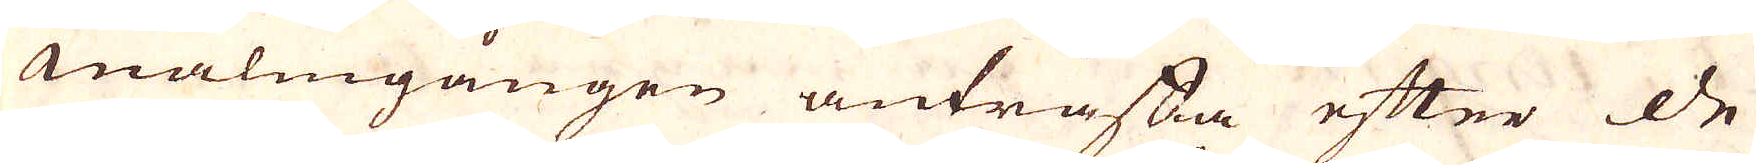malmgången anträffa efter de
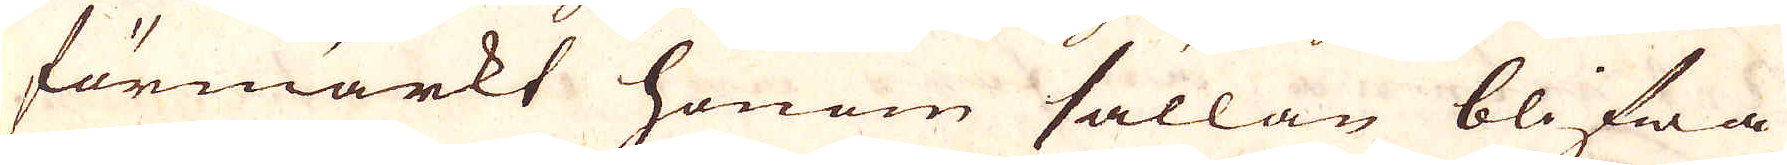förmärkt honom sällan blifwa
